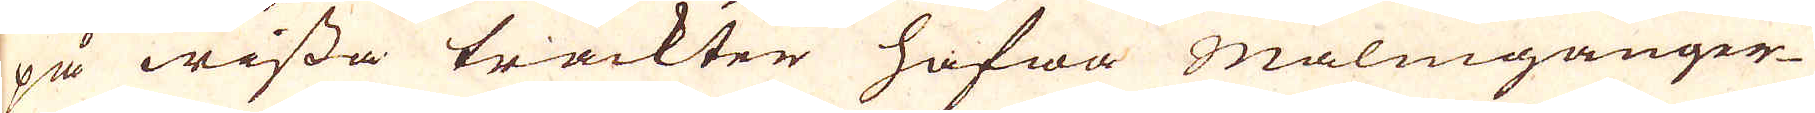på wissa trackter hafwa Malmgånger-
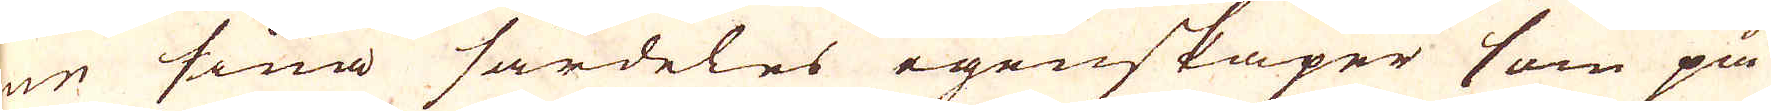ne sina särdeles egenskaper som på
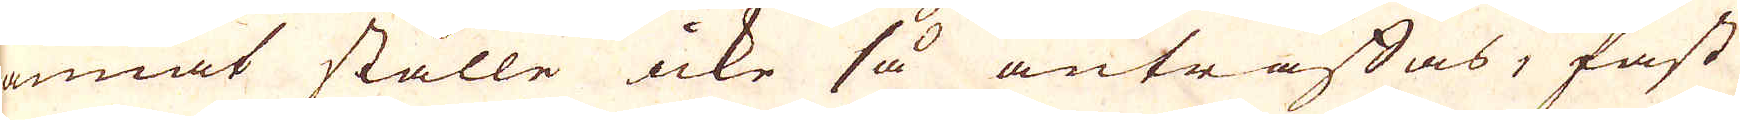annat ställe icke så anträffas, fast
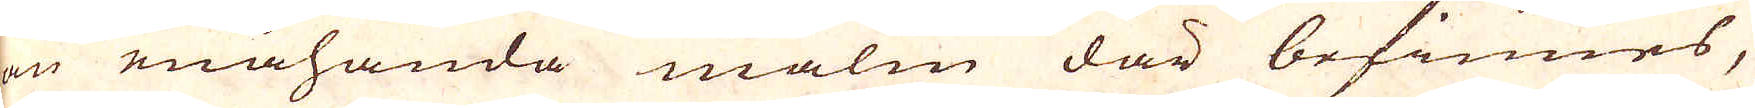en enahanda malm där befinnes,
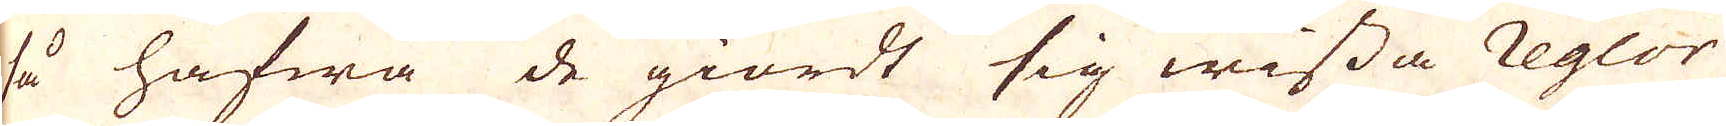så hafwa de giordt sig wissa Reglor
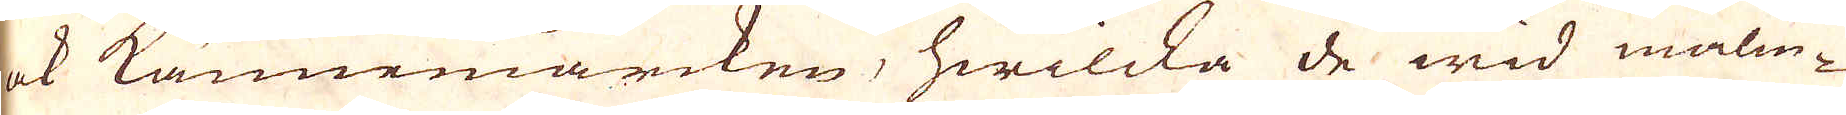ock kännemärcken, hwilcka de wid malm-
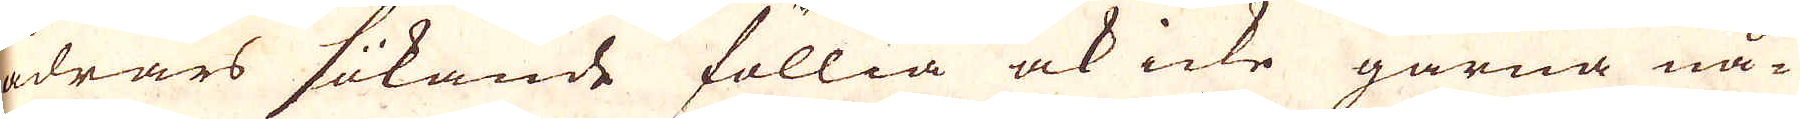ådrars sökande föllia ock icke gärna nå-
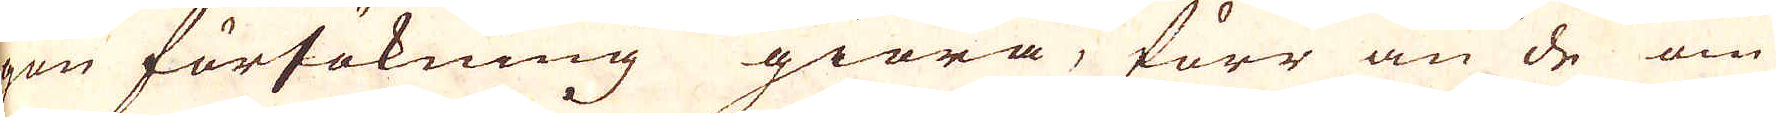gon försökning giöra, förr än de om
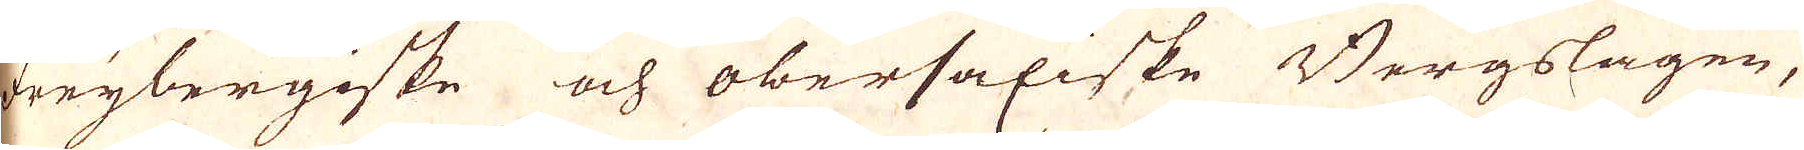Freybergiske och Obersaxiske Bergslagen,
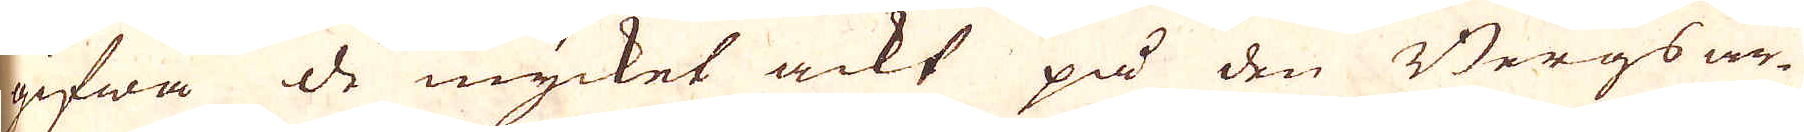gifwa de mycket ackt på den Bergs ar-
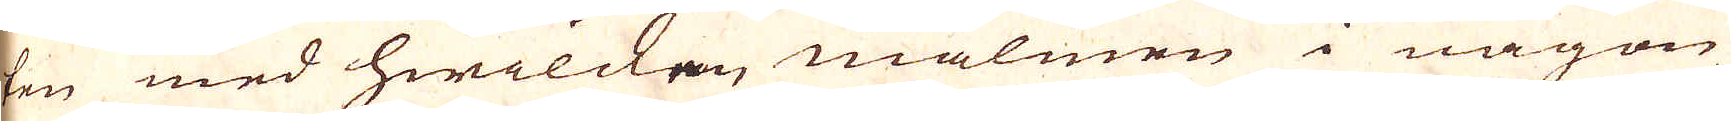ten med hwilcken malmen i någon
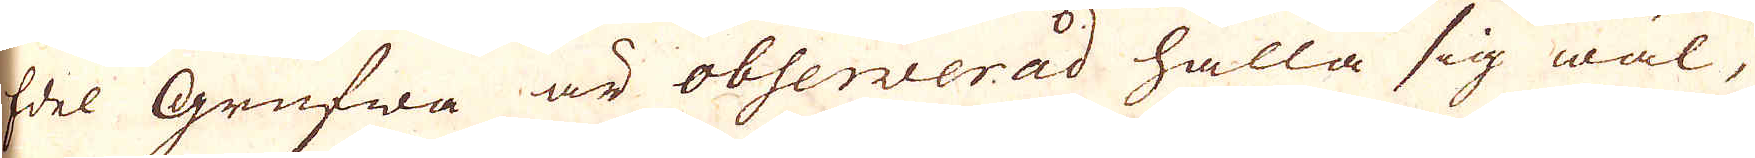Edel Grufwa är observerad hålla sig wäl,
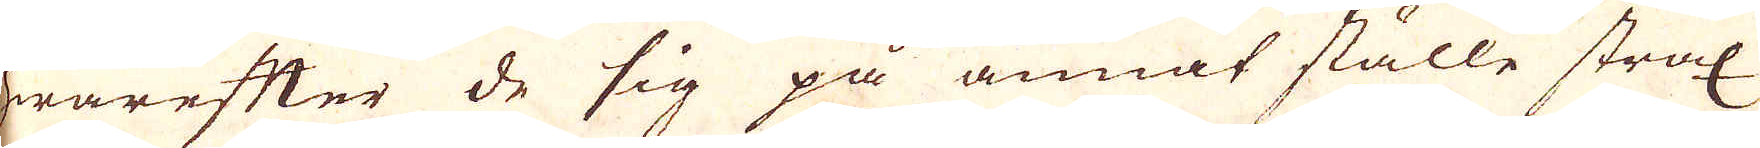hwarefter de sig på annat ställe strax
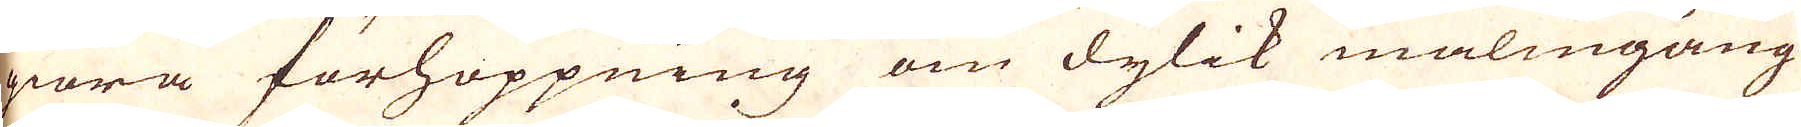giöra förhoppning om dylik malmgång
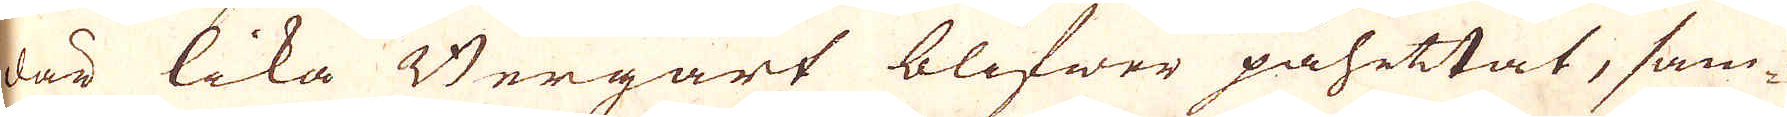där lika Bergart blifwer påhittat, sam-
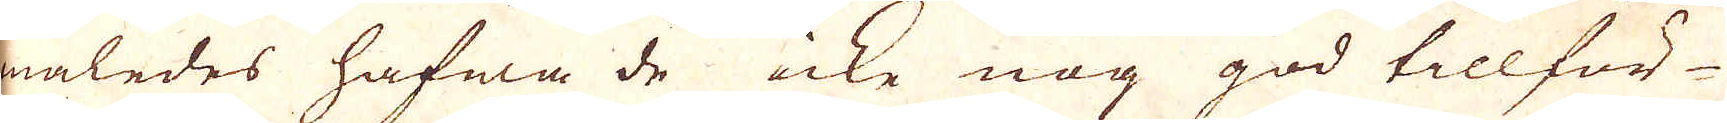maledes hafwa de icke nog god tillför-
